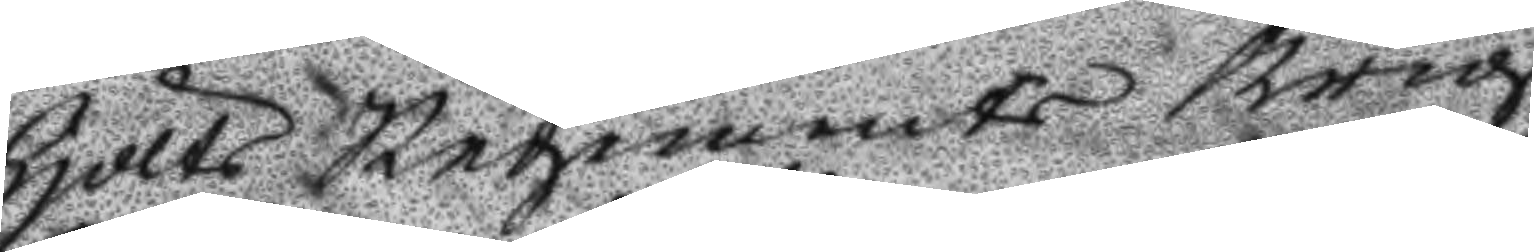hölts Regements Krigs
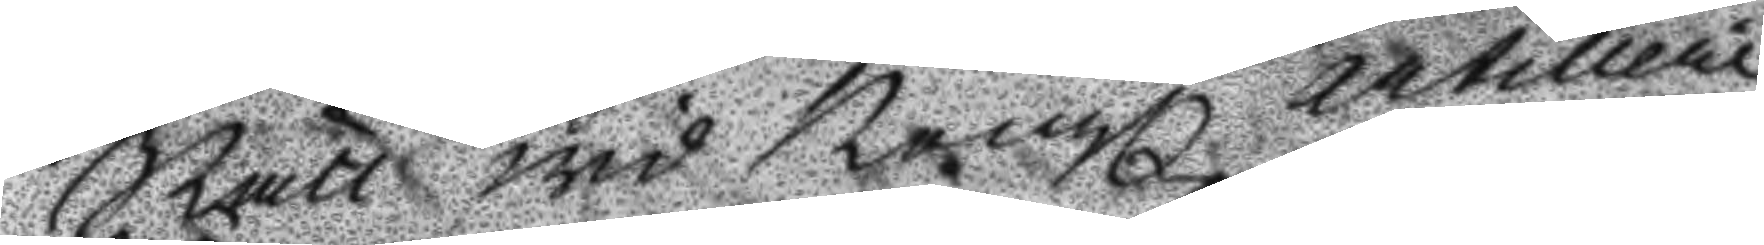Rätt wid Kongl Artillerie
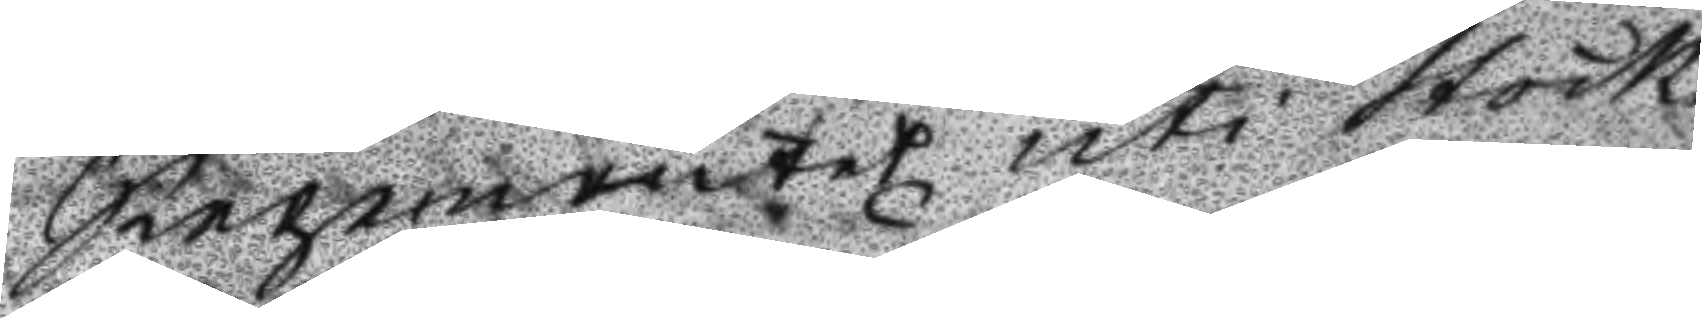Regementet uti Stock¬
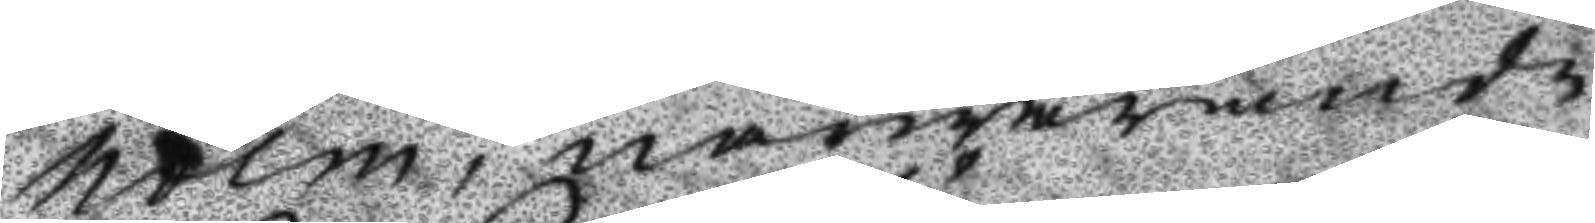holm, närwarande
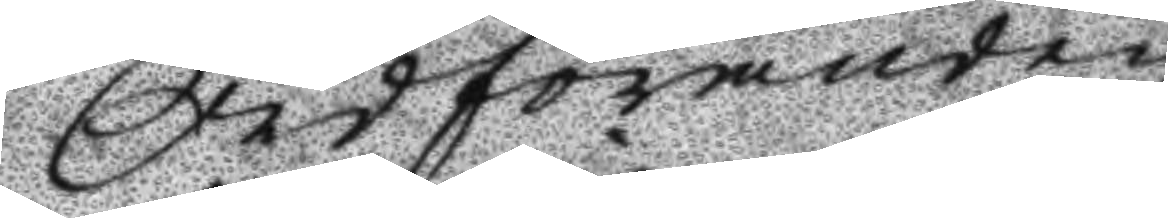Ordföranden
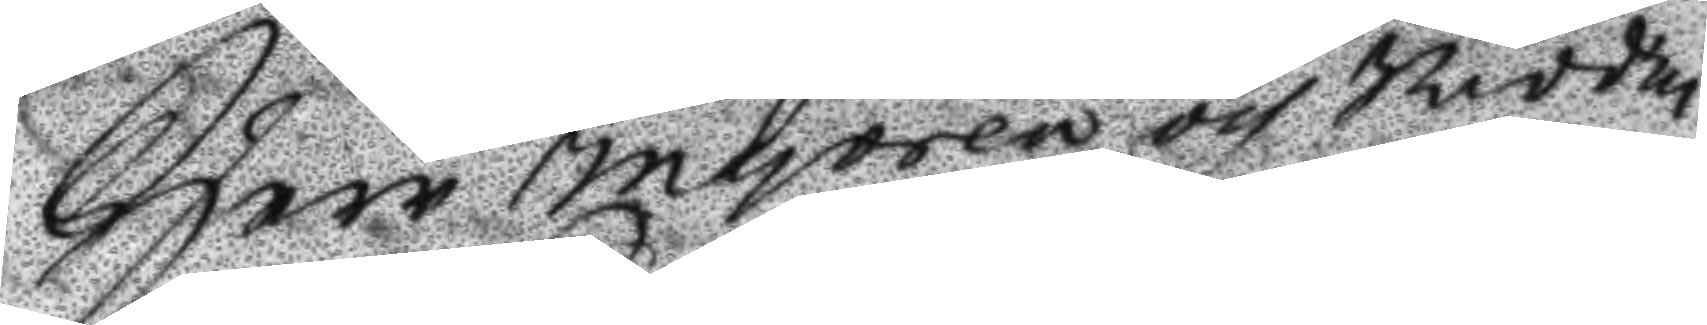Herr Majoren och Ridda¬
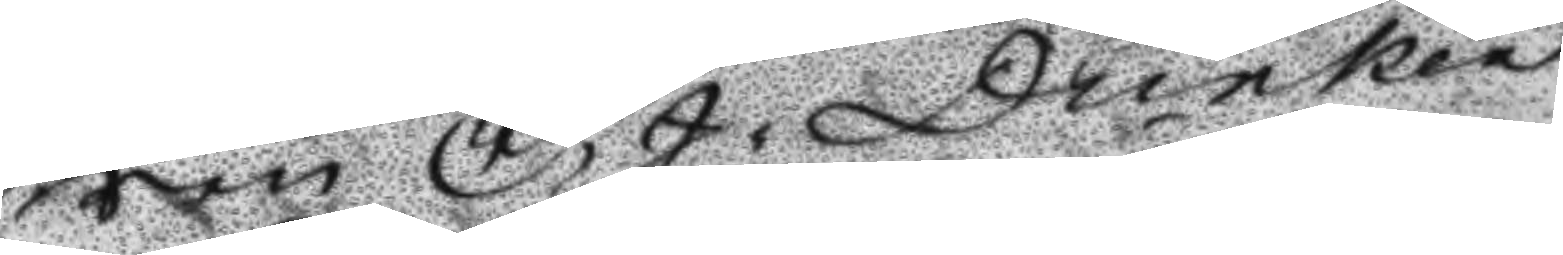ren C, J, Dunker 
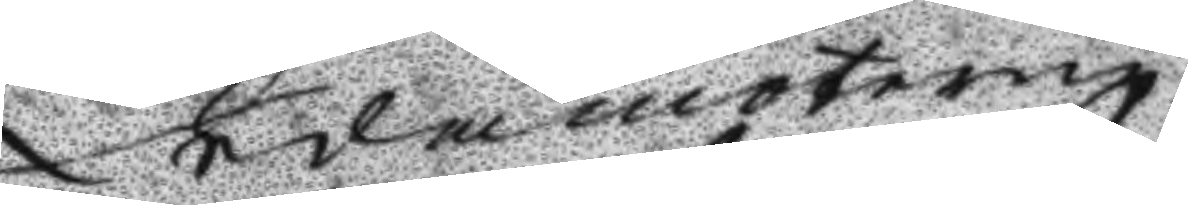Ledamöterne
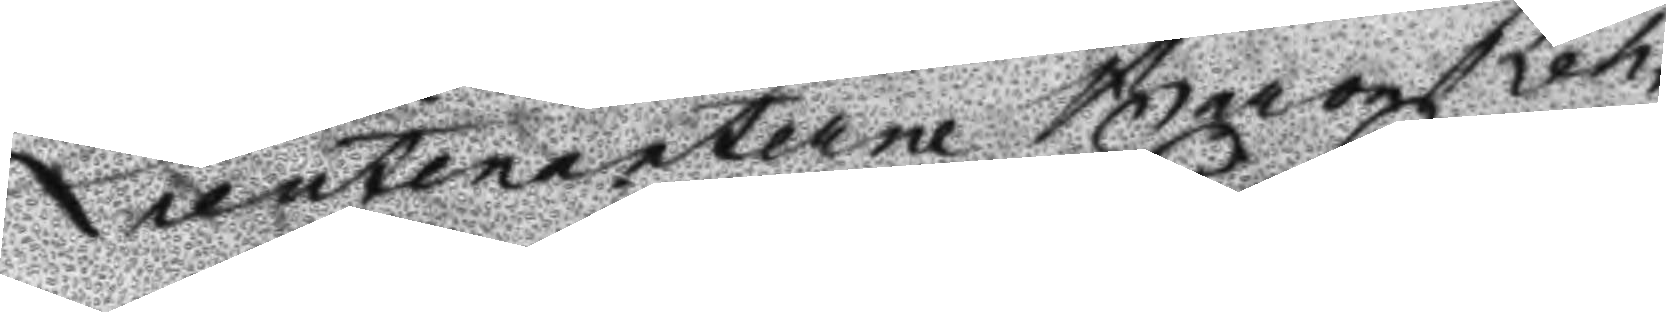Lieutenanterne Baron Reh¬
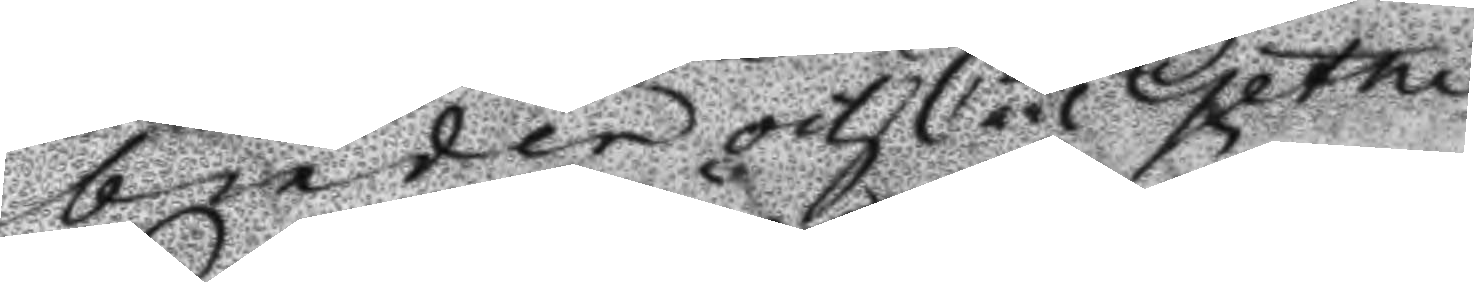binder och Carl Getne
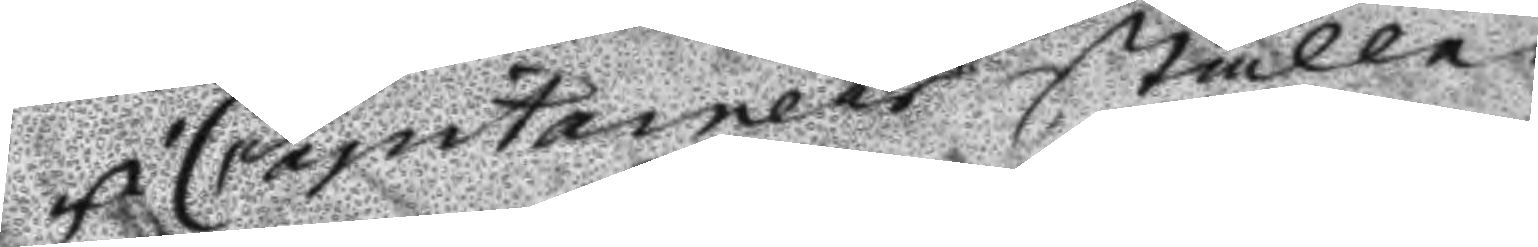i Capitainers ställe
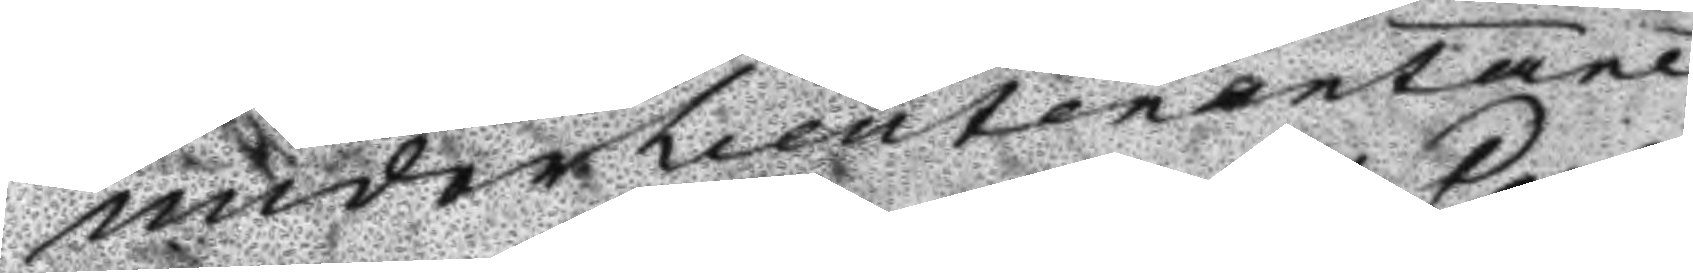underlieutenatane
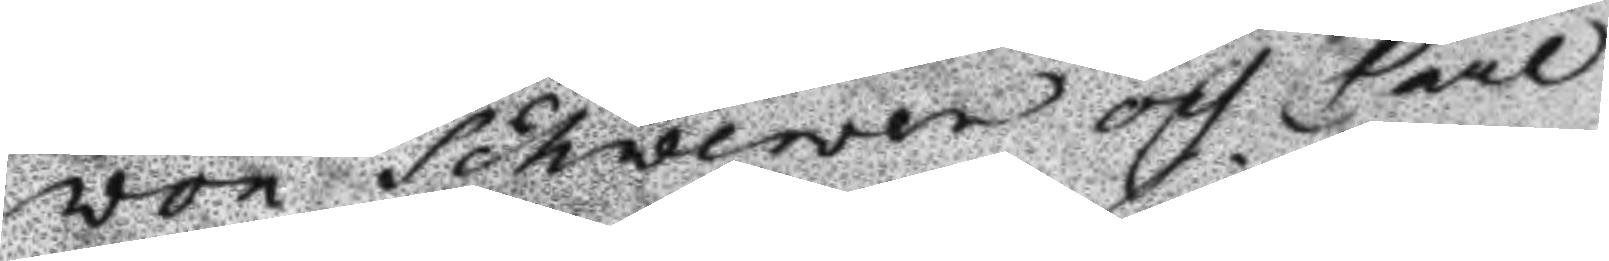von Schwewen och Paul
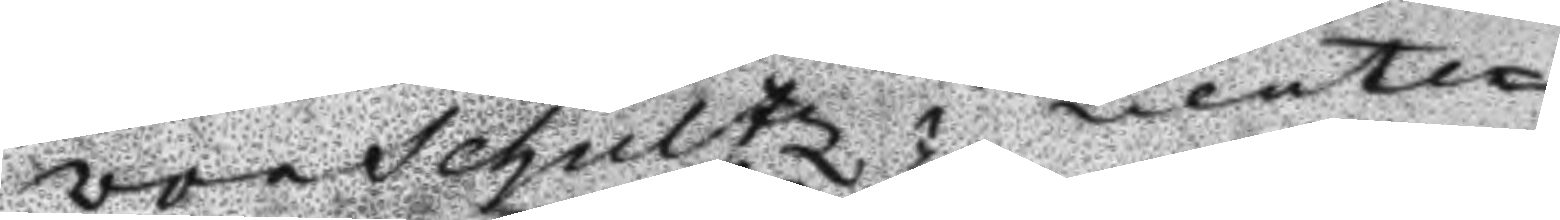von Schultz; Lieute¬
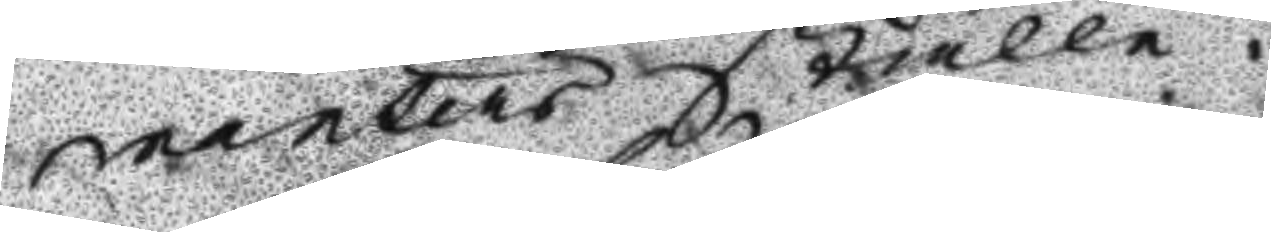nanters ställe.
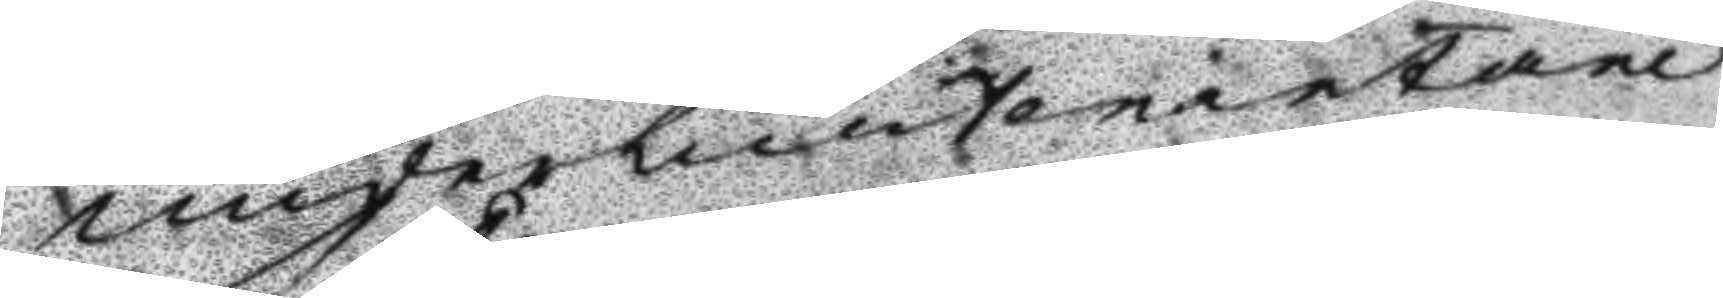underlieutenantarne
